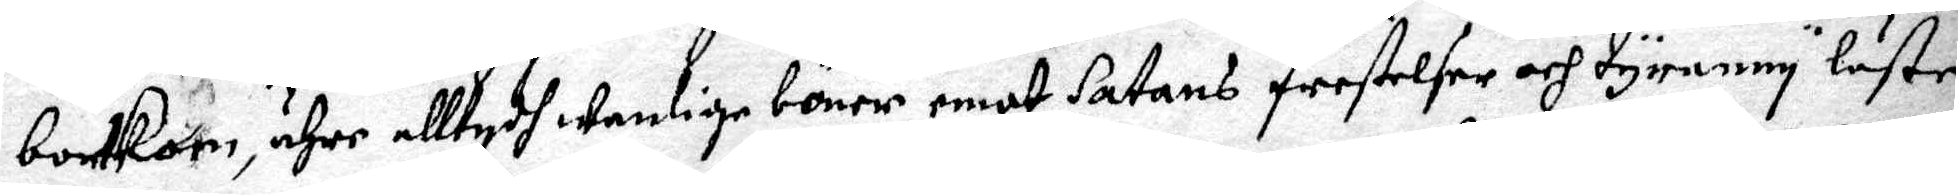bortkom ähre alltydh wanlige böner emot Satans frestelser och tyranny läste.
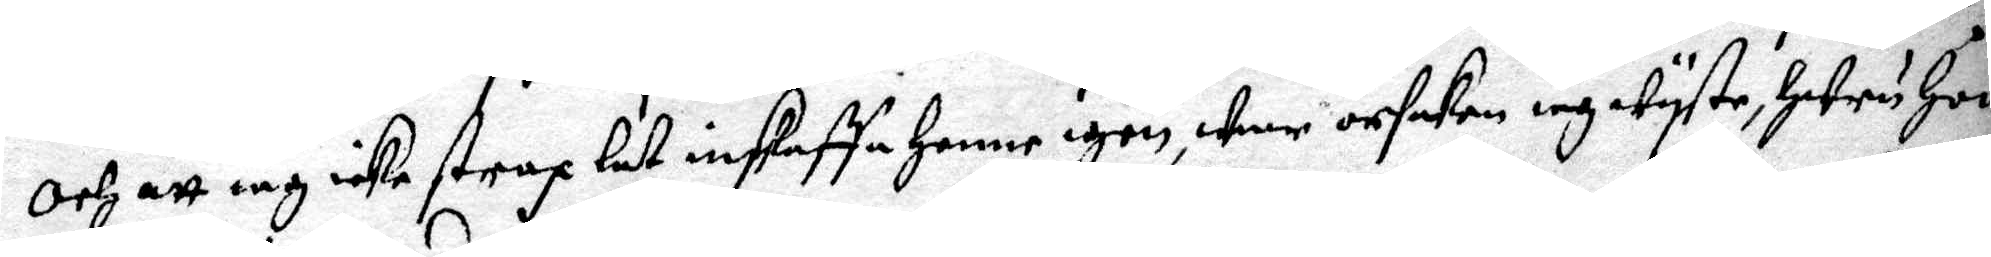Och att iag icke strax lät inskaffa henne igen, war orsaken iag wyste, huru hon
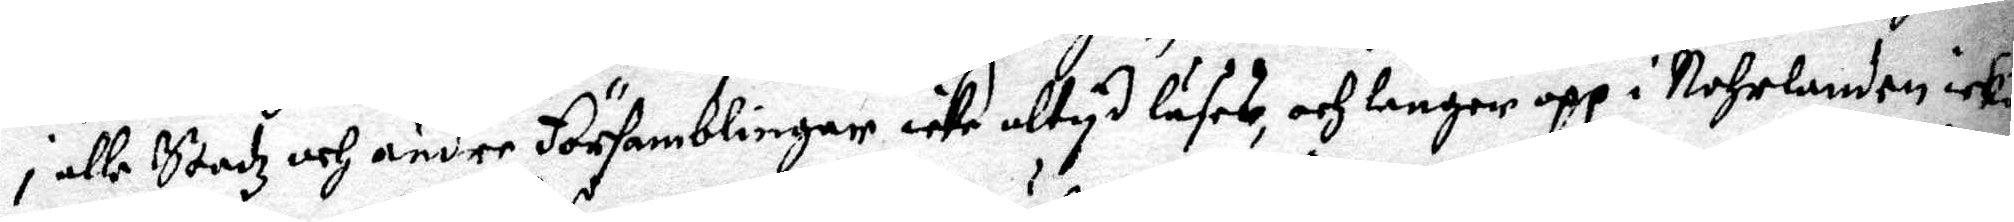i alle stadz och andre Församblinger icke altyd läses, och länger opp i Nohrlanden icke
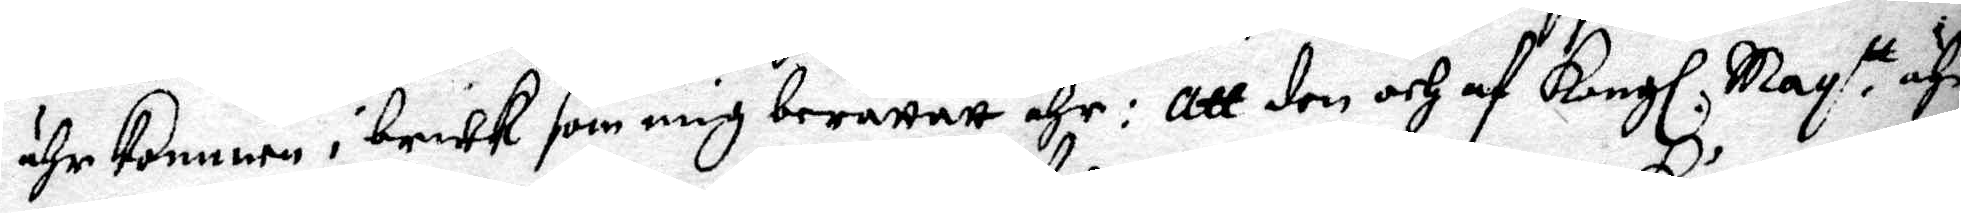ähr kommen i bruk som iag berättatt ähr: Att den och af Kongl. May.tt ähr
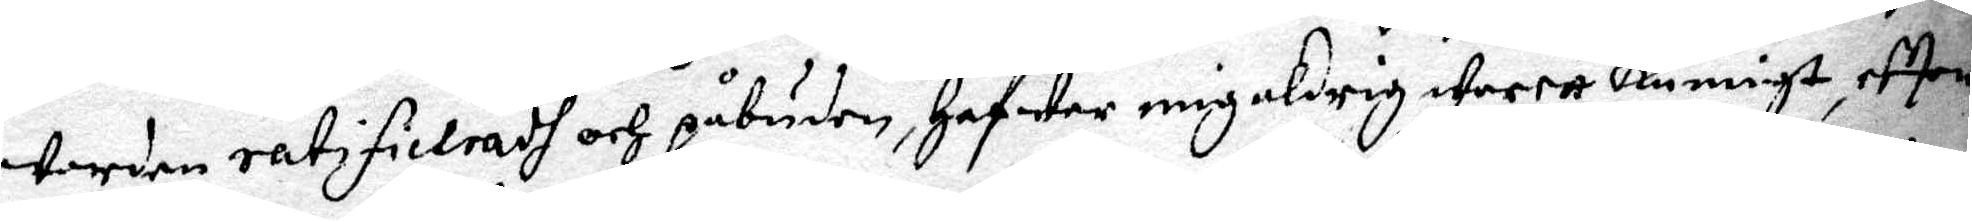worden ratificieradh och påbuden, hafwer mig aldrig warett kunnigt, eftter
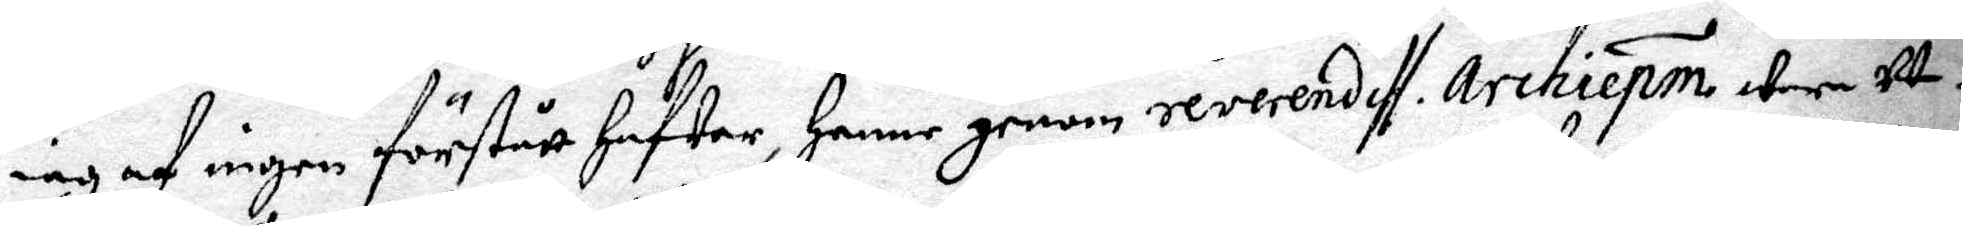iag af ingen förstått hafwer, henne genom reverendiff archiepm wara ut¬
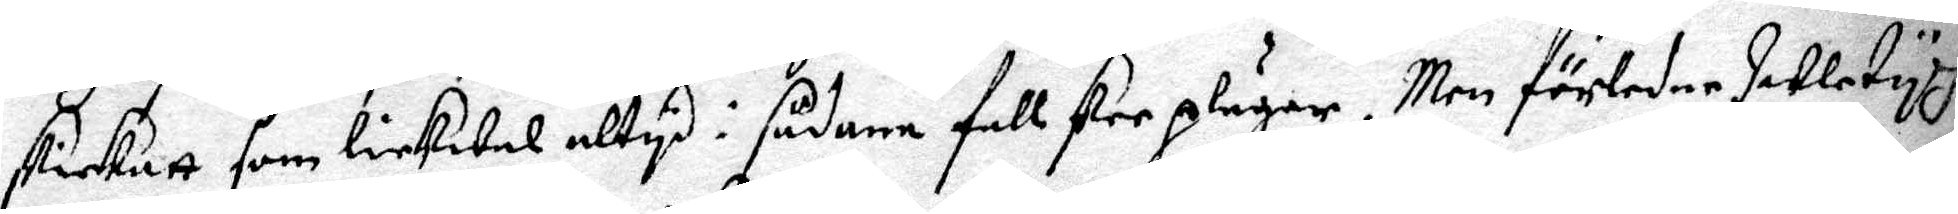skickatt som lickwal altyd i sådana fallsker plägar. Men förledne  Juletydh
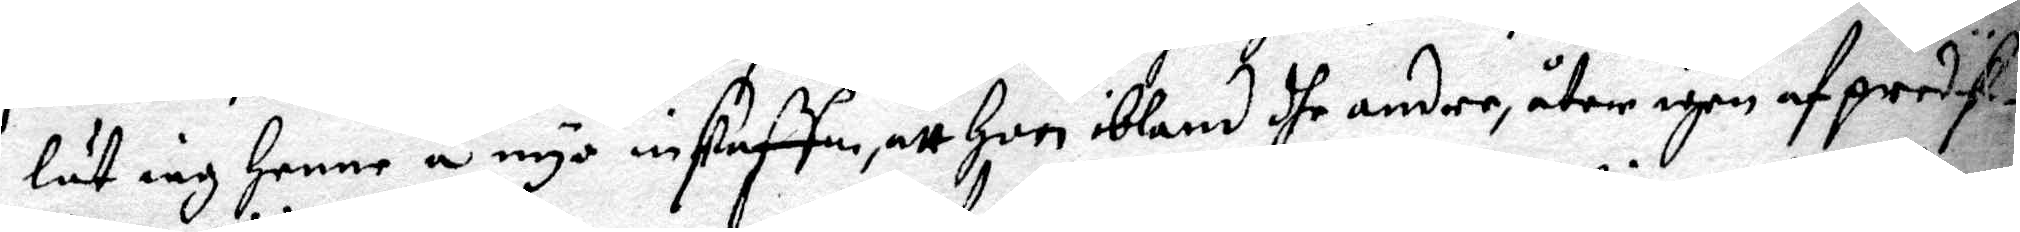lät iag henne å nyo inskaffa, att hon ibland dhe andre, utom igen af predik¬
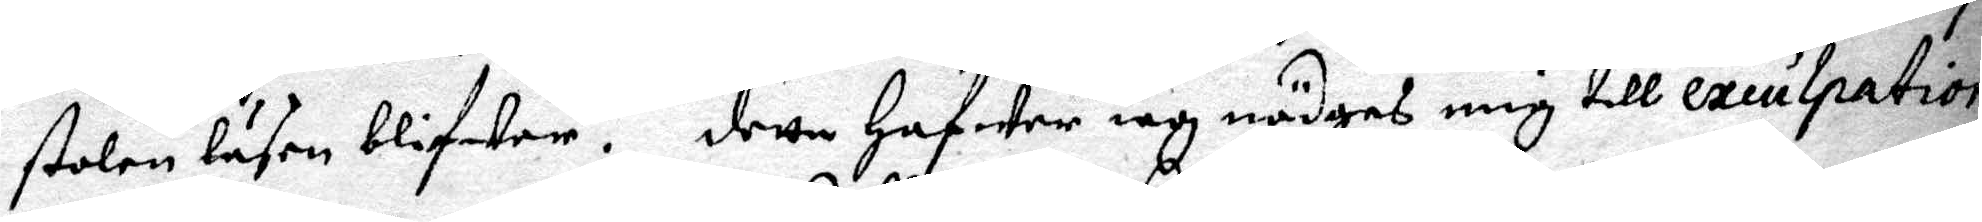stolnen läsen blifwen. Detta hafwer iag nödgas mig till exeulpation
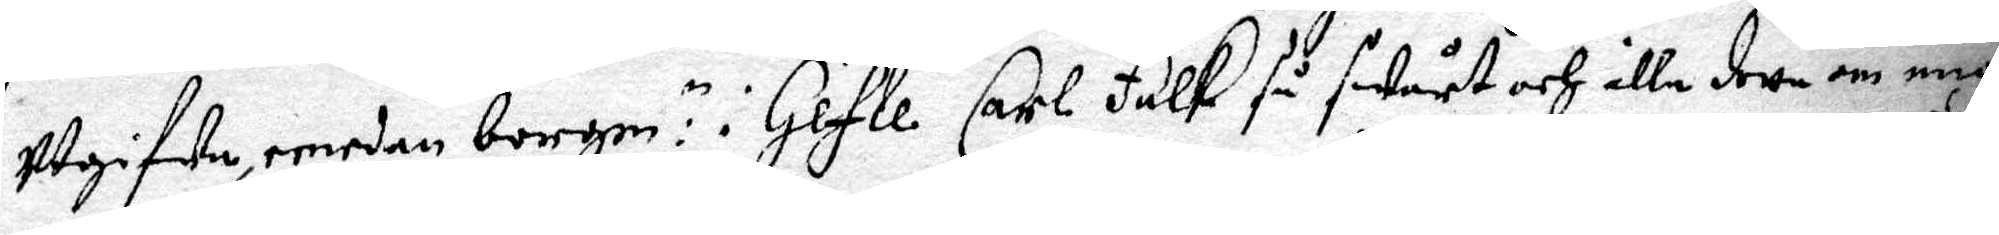utgifwa, emedan borgm:n i Gefle Carl Falk så swårt och illa detta om mig
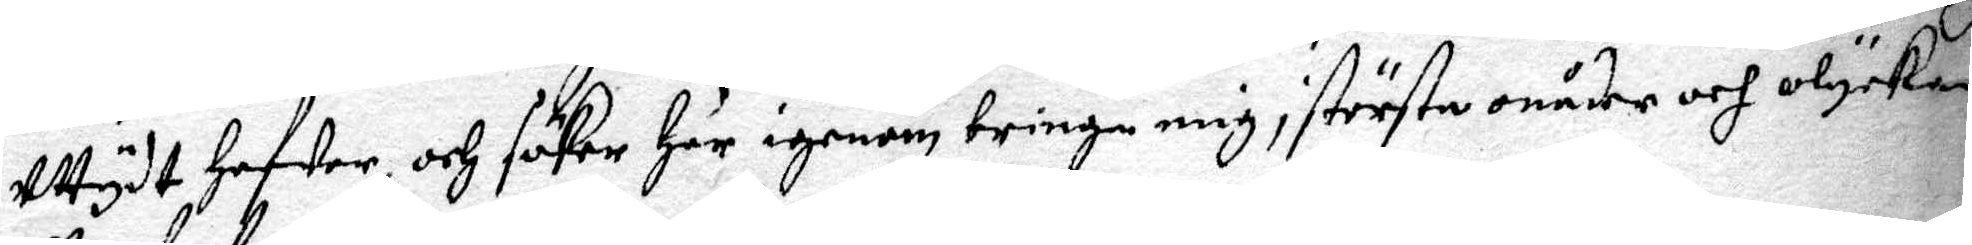utydt hafwer och söker här igenom bringa mig i största onåder och olyckan
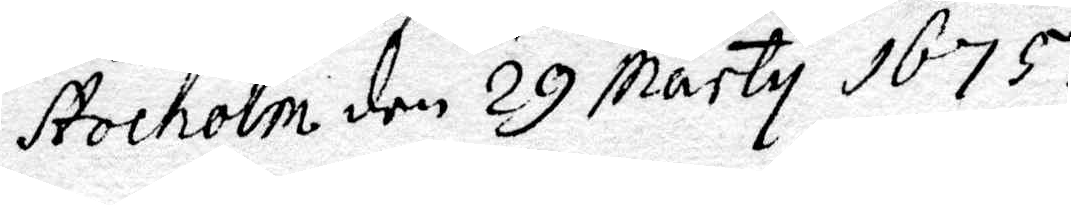Stocholm den 29 Marty 1675.
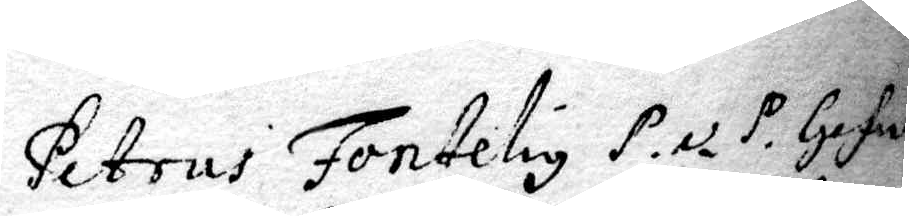Petrus Fonteliy P. ex. P. Gefle
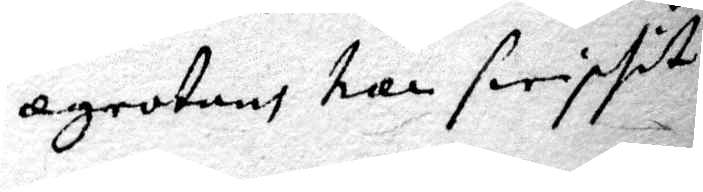agrotans har swiplit.
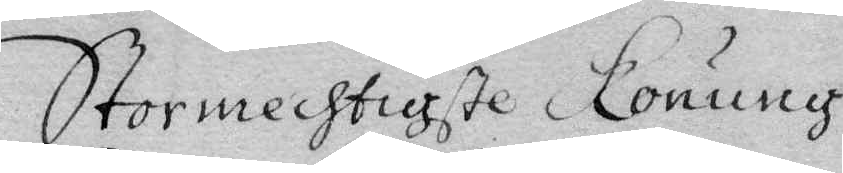Stormechtigste Konung
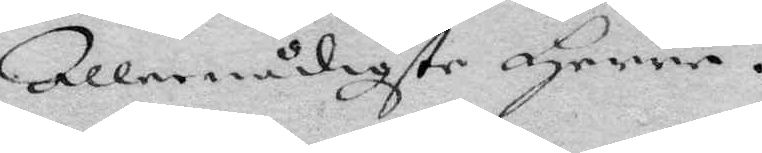Allernådigste Herre.
